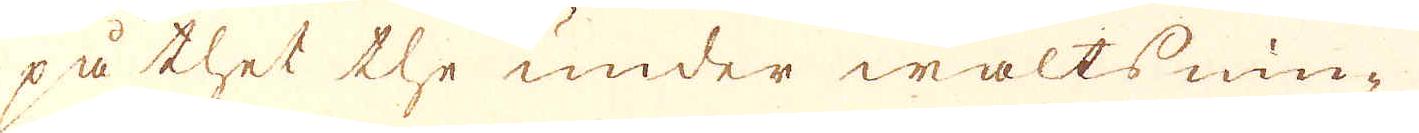på thet the under waltsnin-
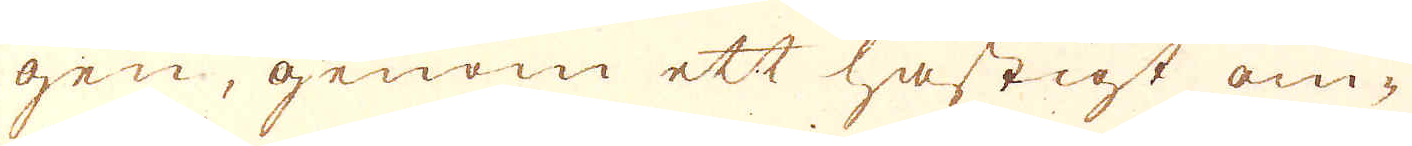gen, genom ett hastigt om-
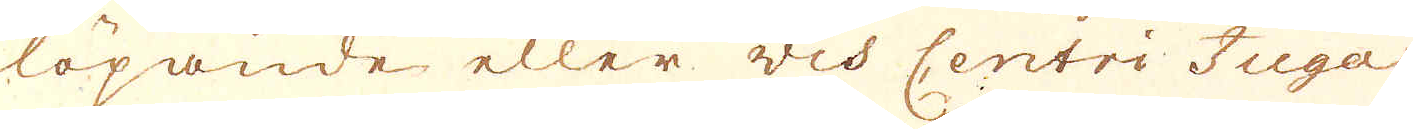löpande eller vid Centri Fuga
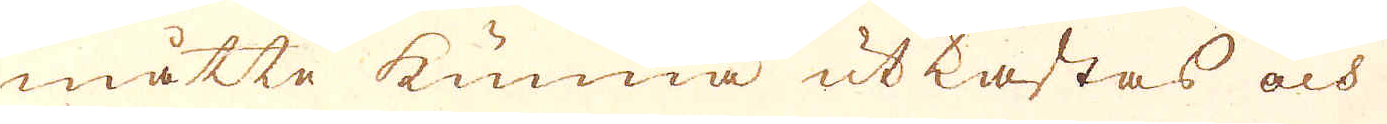måtte kunna utkastas och
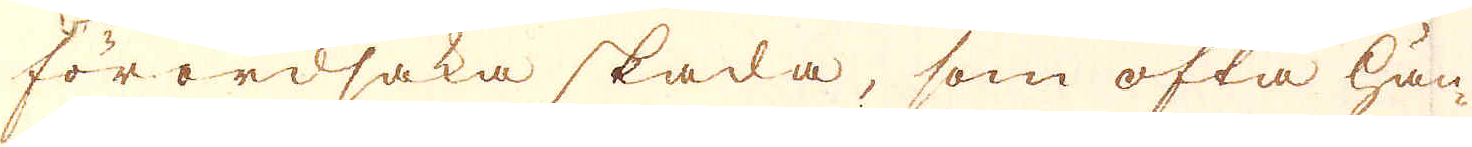förordsaka skada, som ofta hän-
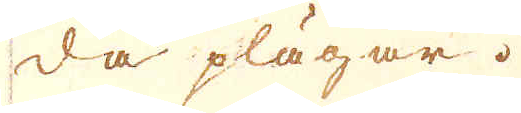da plägar.
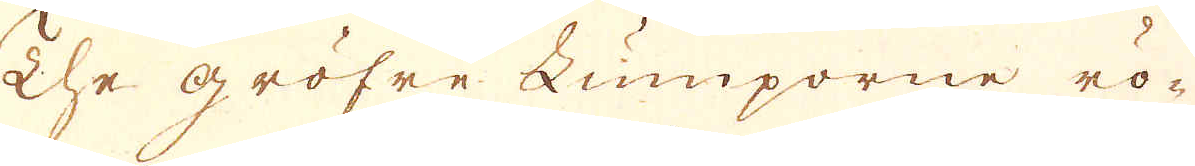The gröfre Lumporne rö-
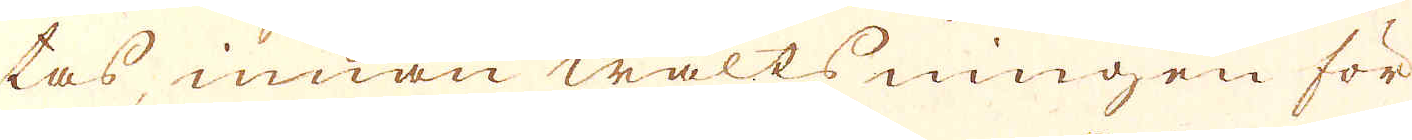tas innan waltsningen för
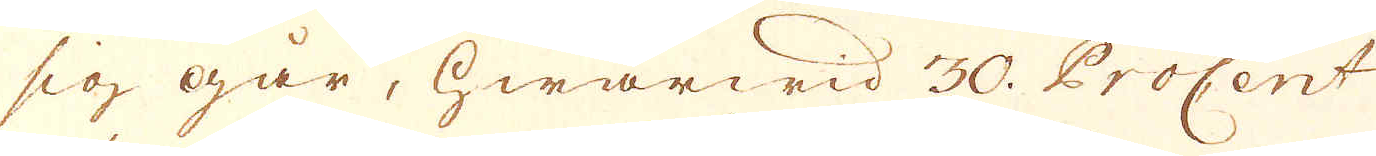sig går, hwarwid 30. Procent
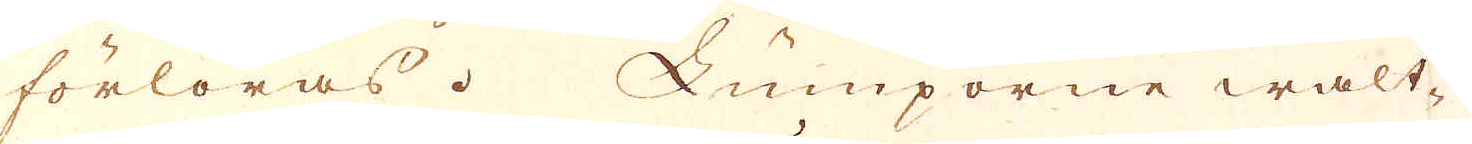förloras. Lumporne walt-
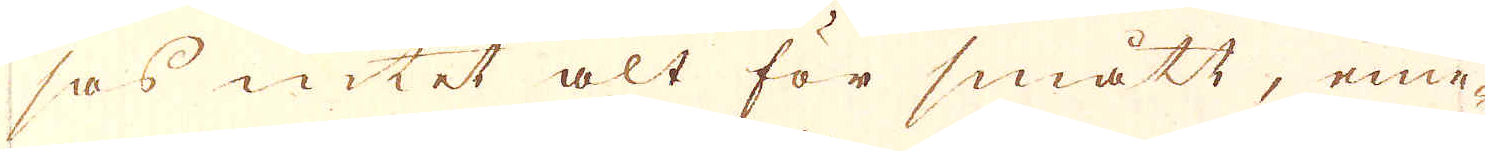sas intet alt för smått, eme-
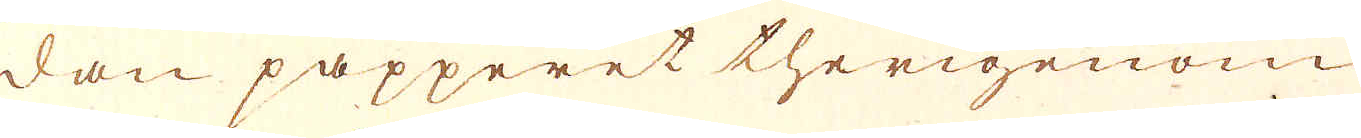dan papperet therigenom
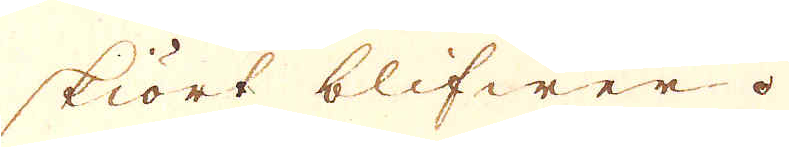skiört blifwer.
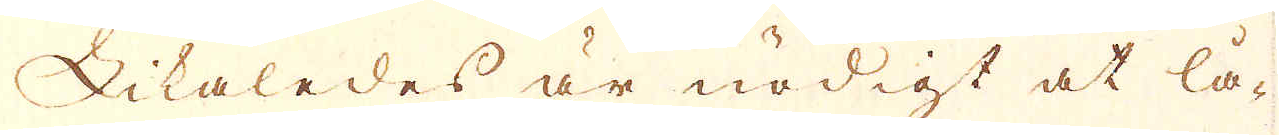Likaledes är nödigt at lå-
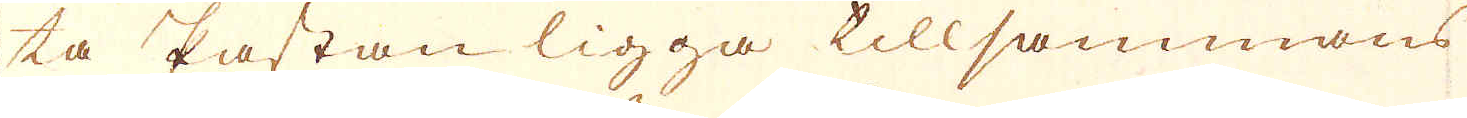ta Pastan ligga tillsammans
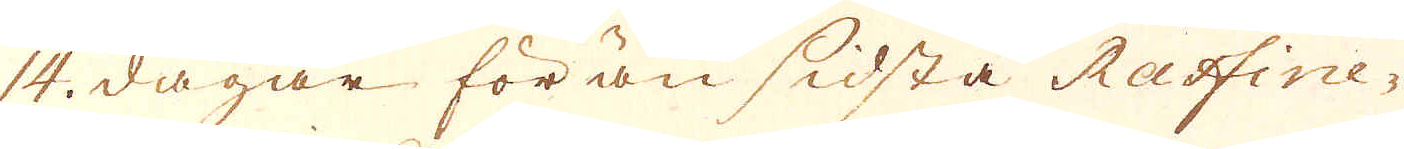14. dagar förän sidsta Raffine-
